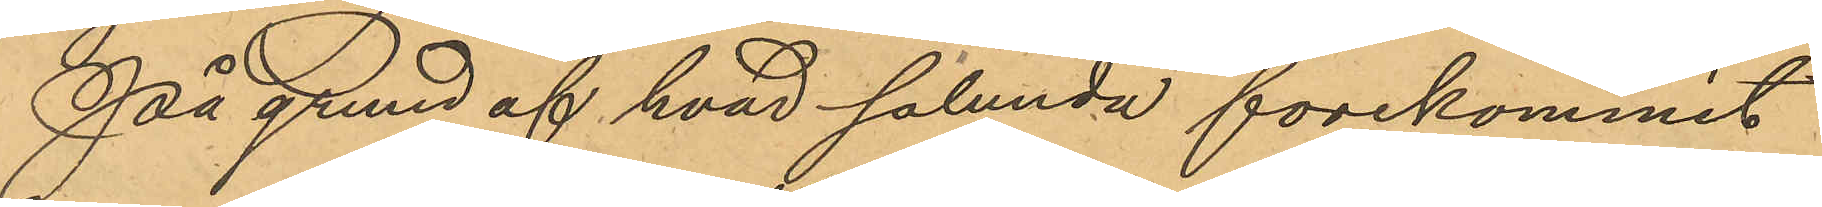På grund af hvad sålunda förekommit
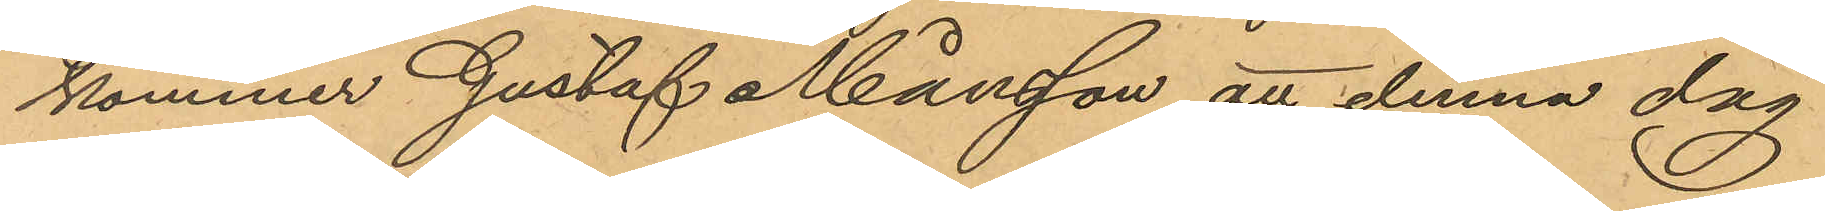kommer Gustaf Månsson att denna dag
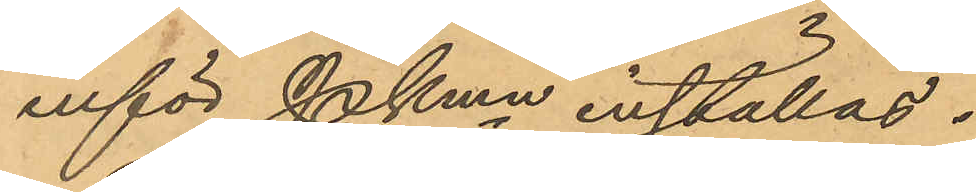inför Pkmn inställas.
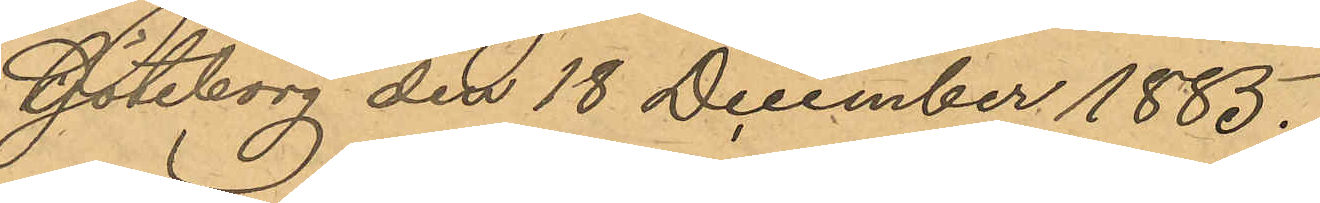Göteborg den 18 December 1885.
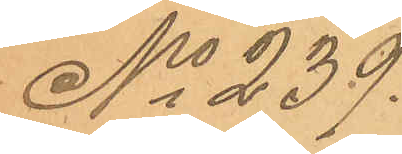No 239.
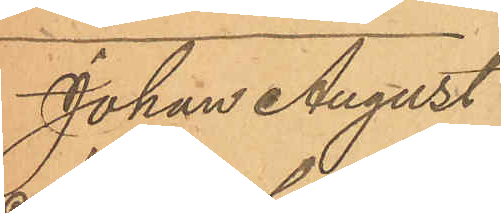Johan August
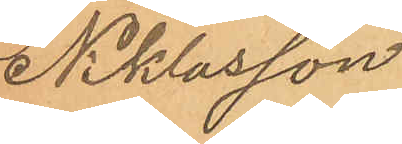Niklasson
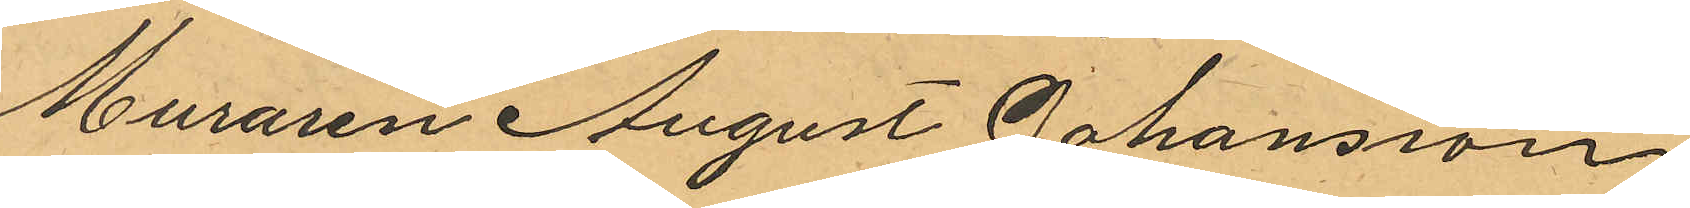Muraren August Johansson
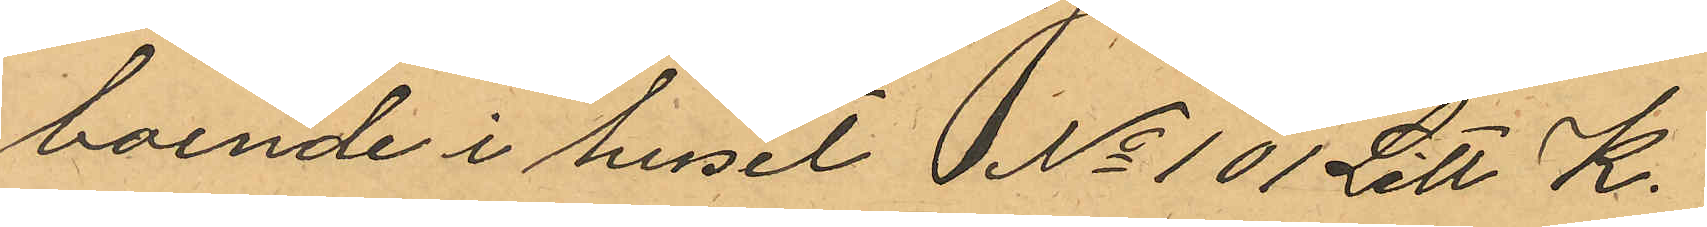boende i huset I No 101 Litt K.
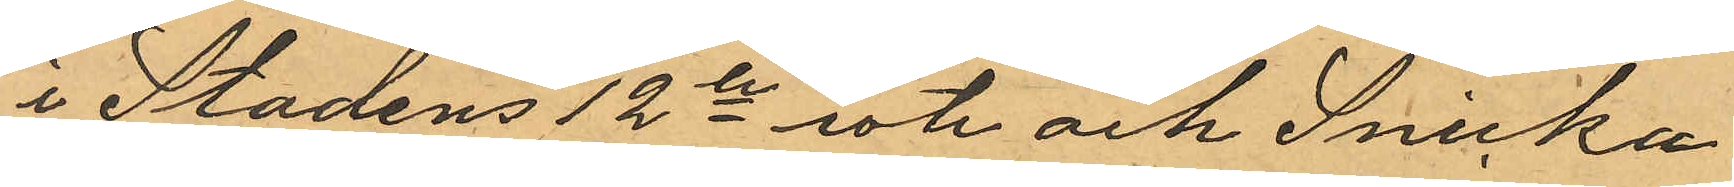i Stadens 12te rote och Snicka¬
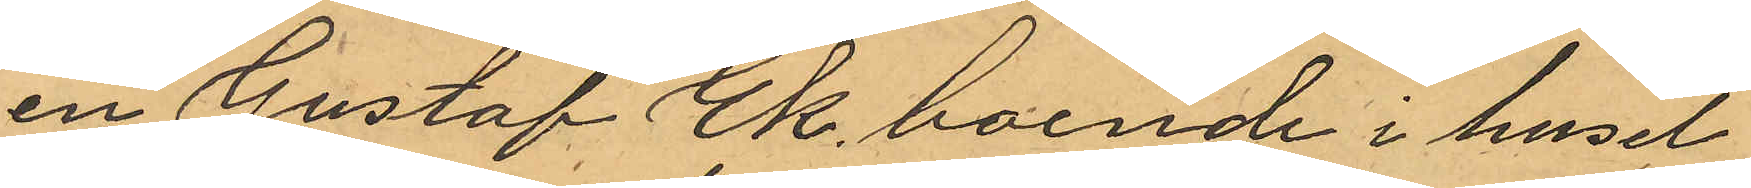en Gustaf Ek, boende i huset
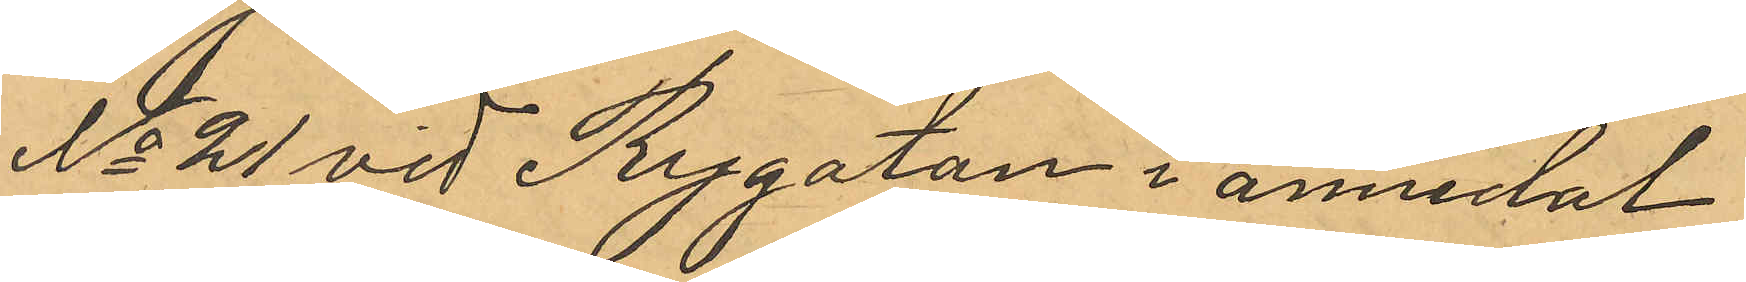No 21 vid Rygatan i annedal
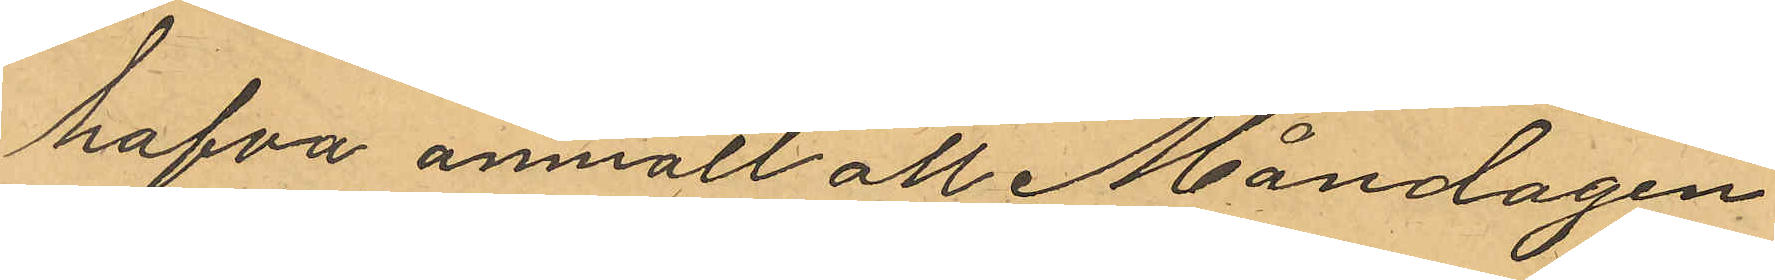hafva anmält att Måndagen
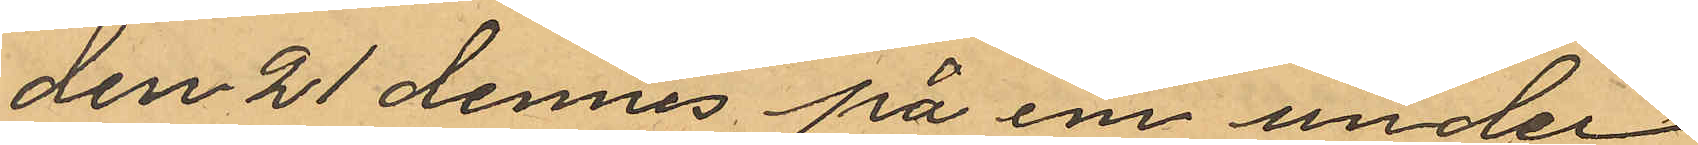den 21 dennes på e m under
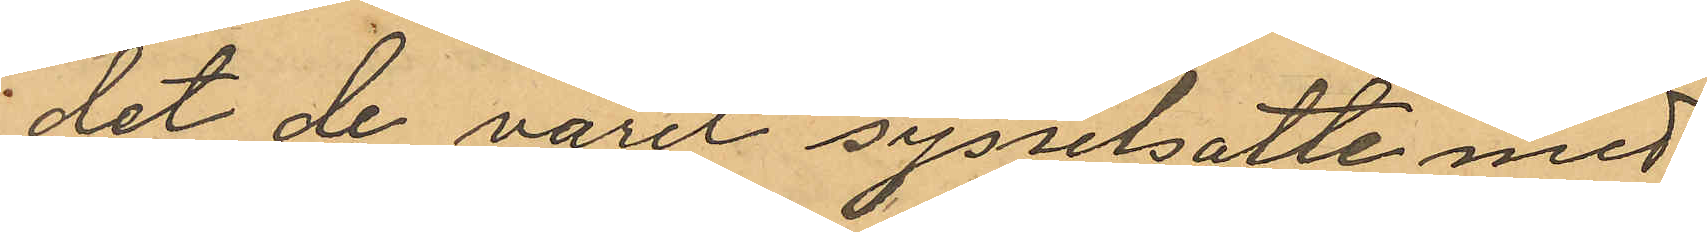det de varit sysselsatte med
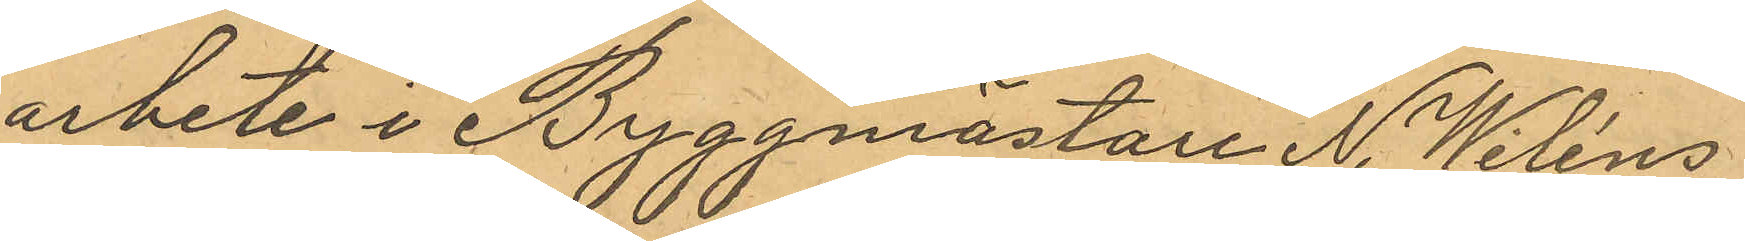arbete i Byggmästare N. Wiléns
